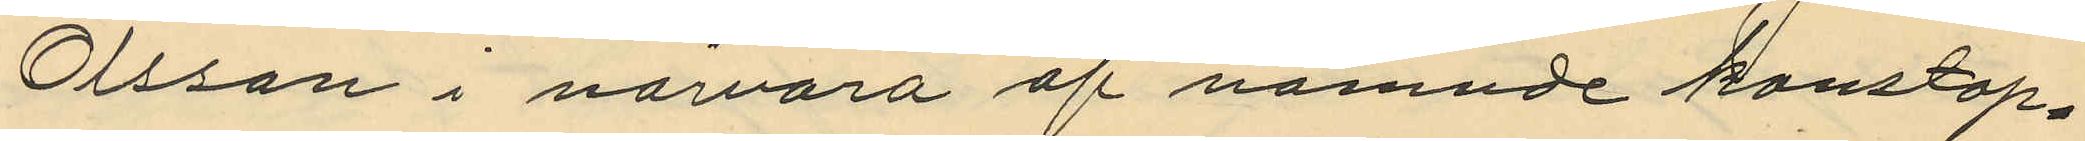Olsson i närvaro af nämnde konstap¬
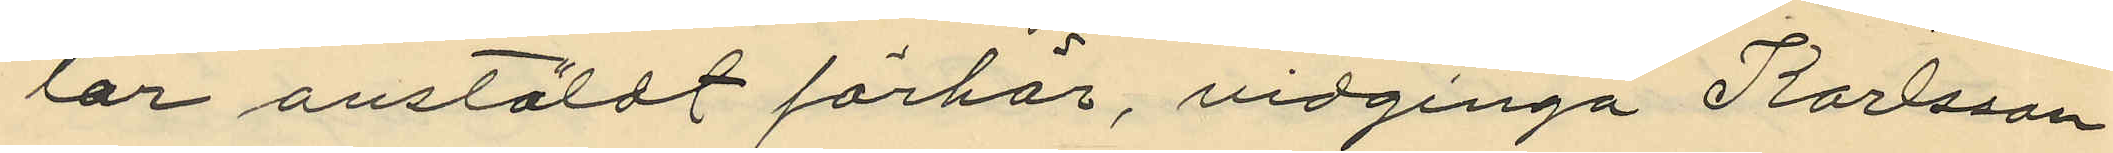lar anstäldt förhör, vidginga Karlsson
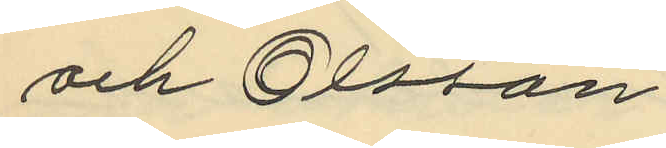och Olsson
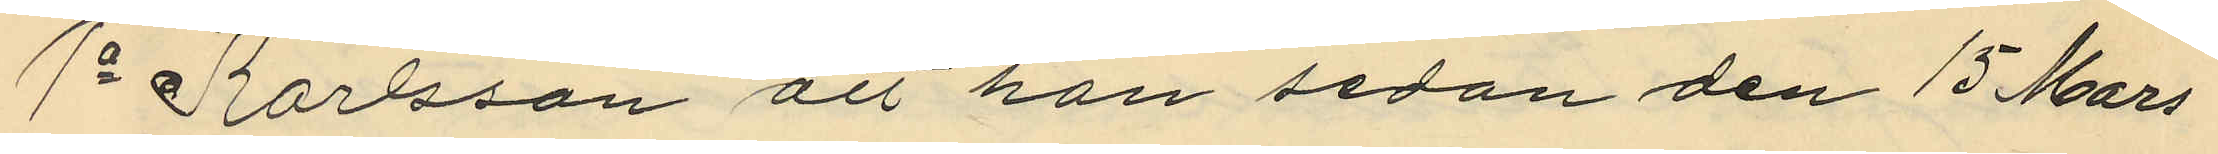1o Karlsson att han sedan den 15 Mars
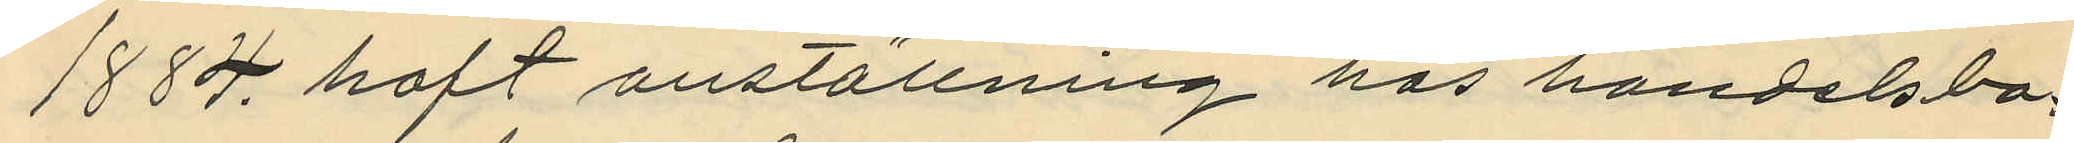1884 haft anställning hos handelsbo¬
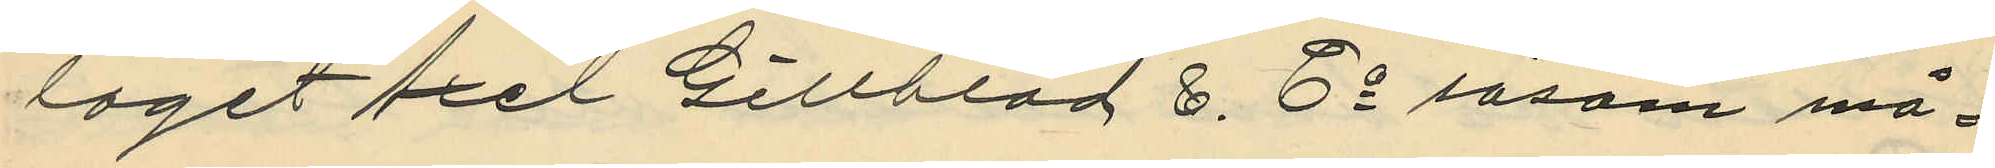laget Axel Gillblad & Co såsom må¬
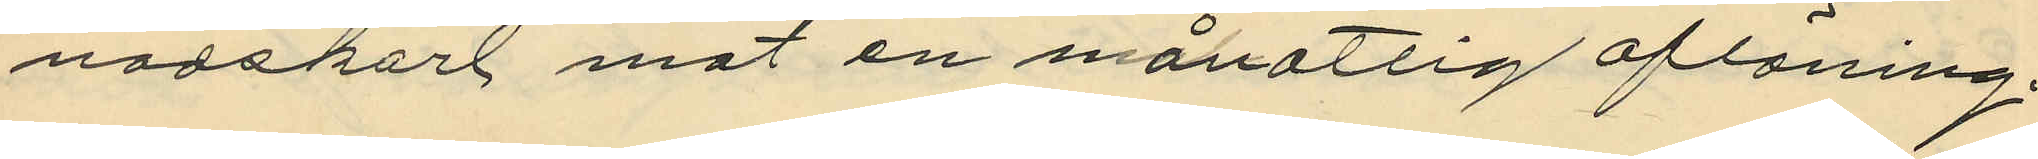nadskarl mot en månatlig aflöning;
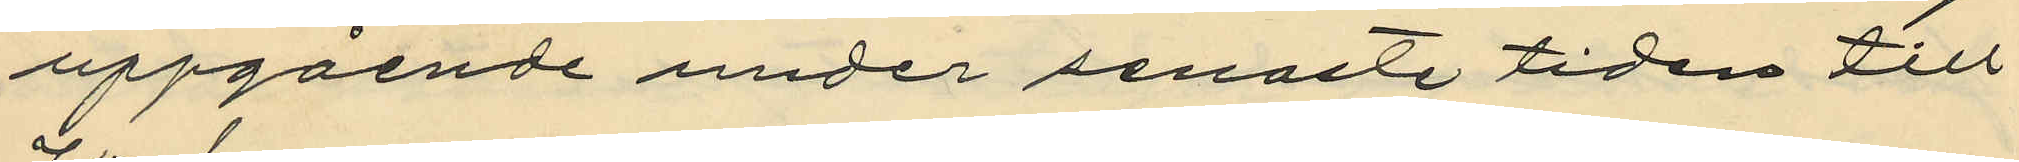uppgående under senaste tiden till
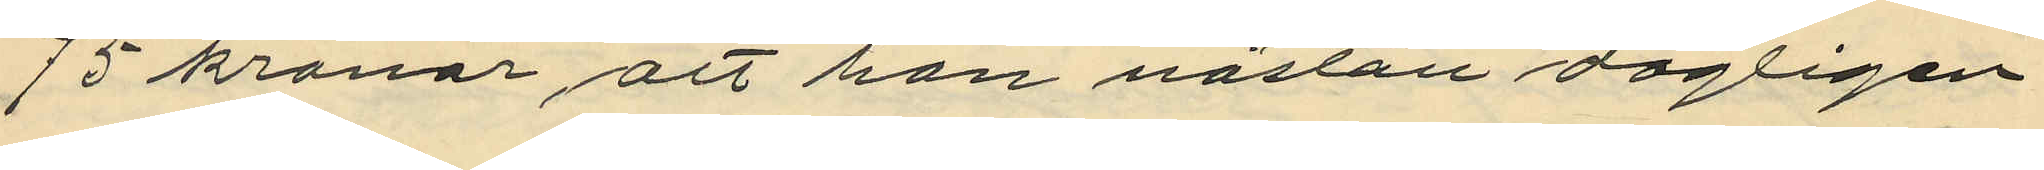15 kronor, att han nästan dagligen
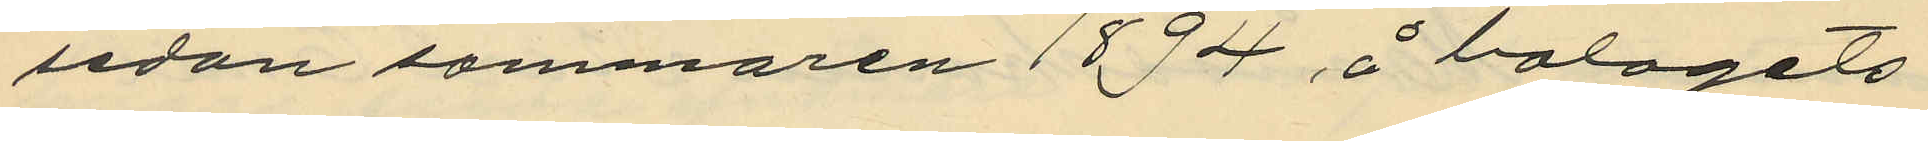sedan sommaren 1894, å bolagets
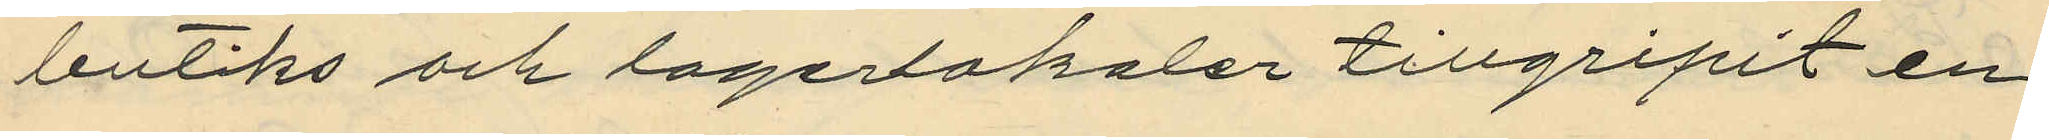butiks och lagerlokaler tillgripit en
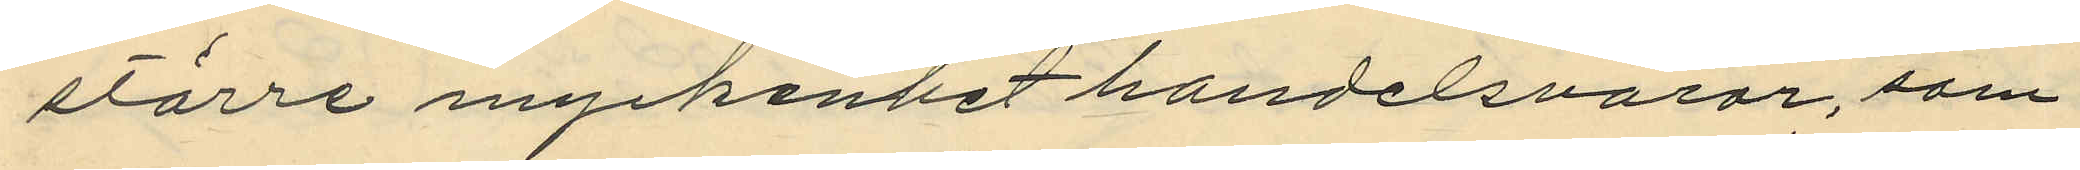större myckenhet handelsvaror, som
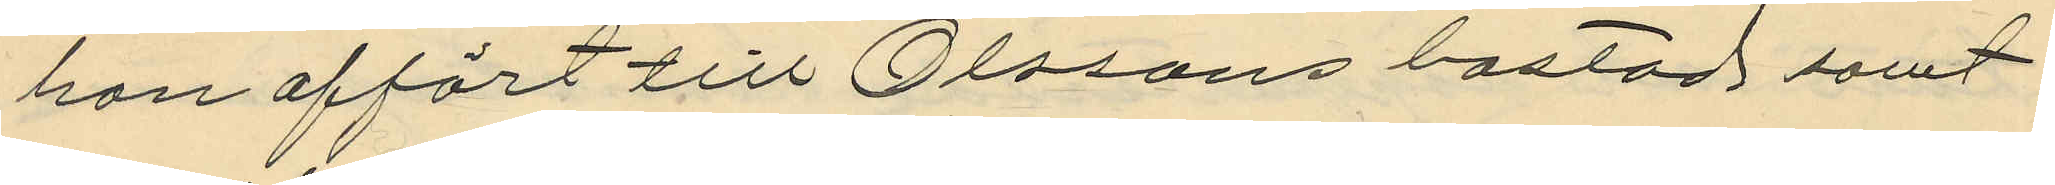han affört till Olssons bostad samt
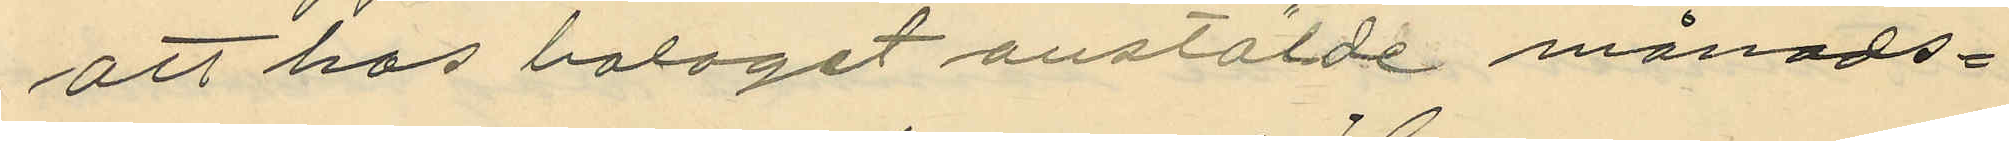att hos balaget anstälde månads¬
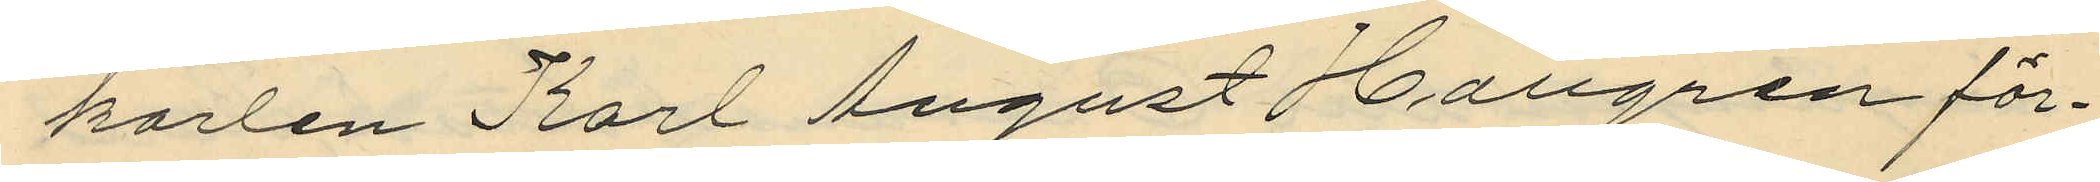karlen Karl August Hallgren för¬
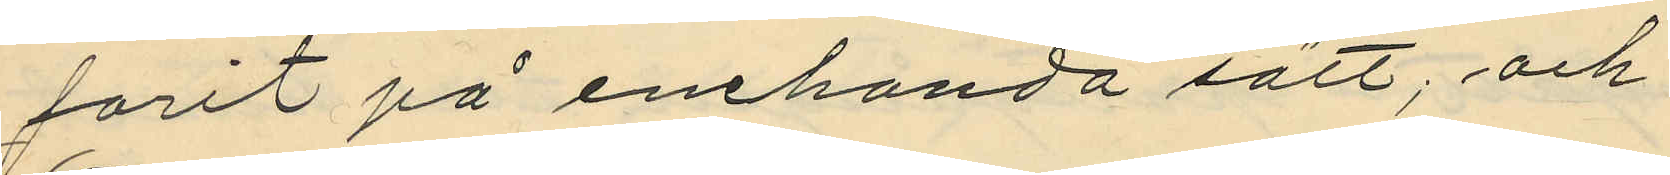förit på enehanda sätt; och
